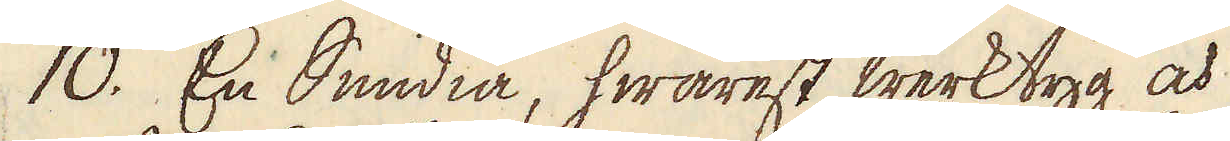10. En Smidia, hwarest werktyg och
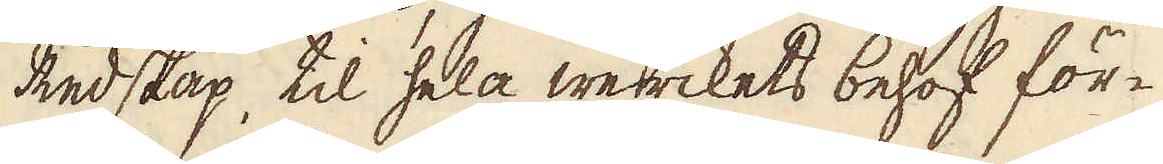Redskap, til hela werckets behof för-
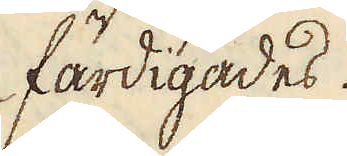färdigades.
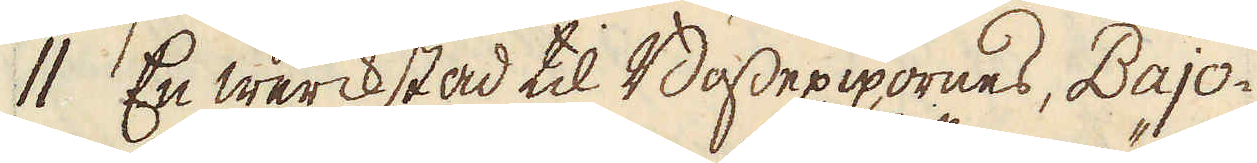11. En werckstad til Bössepipornes, Bajo-
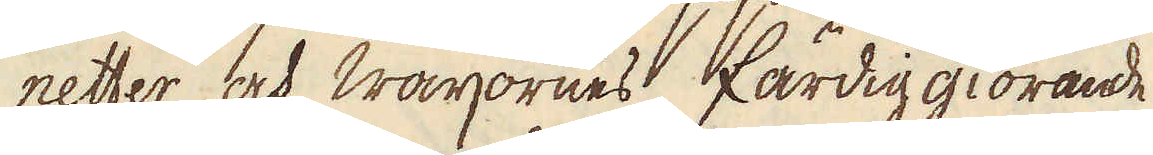netter och Wärjornes färdig giörande
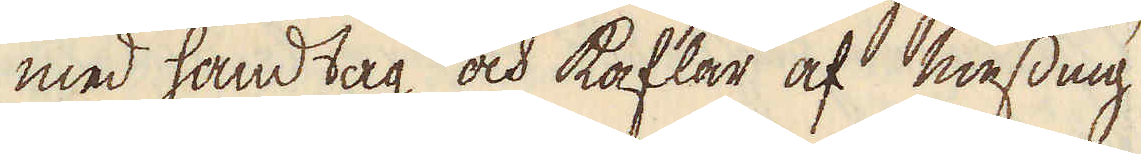med handtag och kaflar af messing
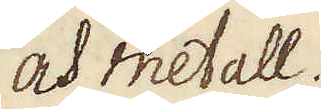och metall.
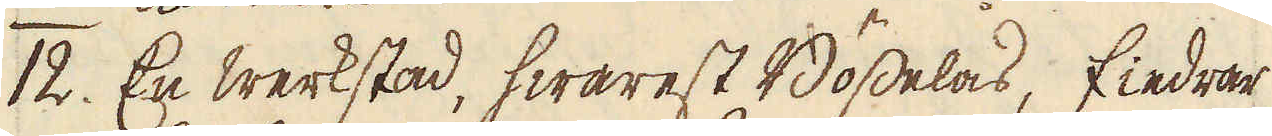12. En werkstad, hwarest Bösselås, fiedrar
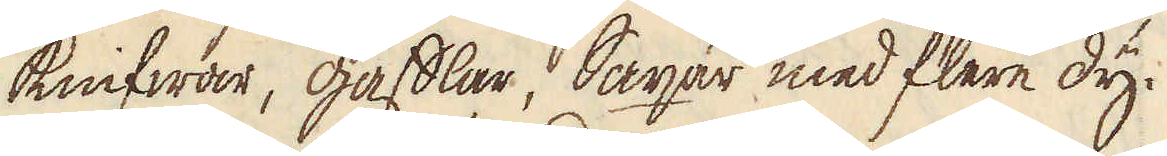knifwar, gafflar, Saxar med flere dy-
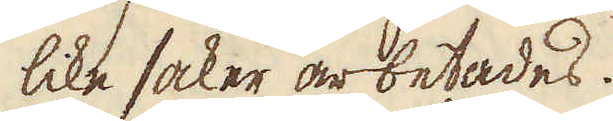like saker arbetades.
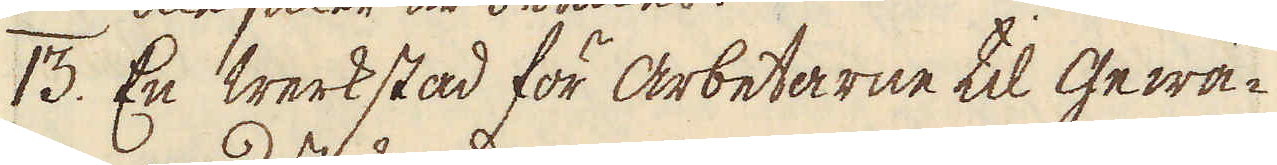13. En werkstad för arbetarne til gewä-
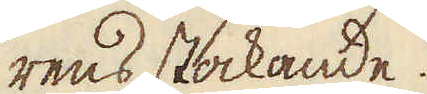rens stakande.
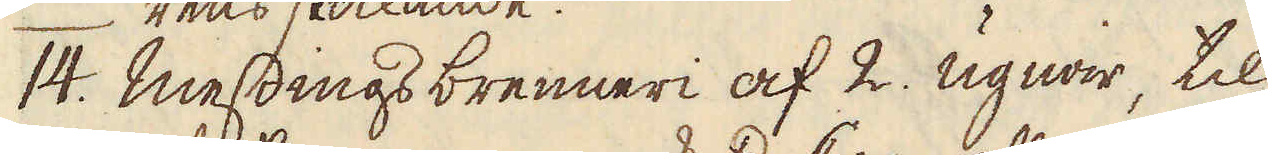14. Messings brenneri af 2. ugnar, til
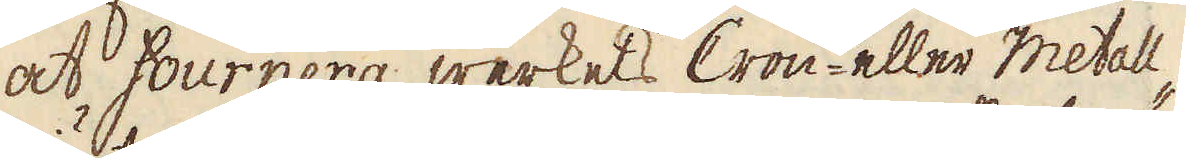at fournera werkets Cron- eller metall-
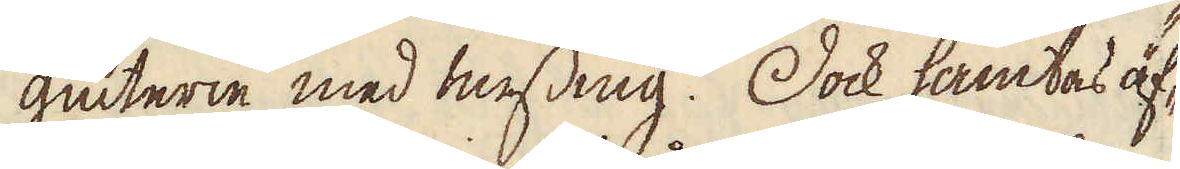giutare med messing. Dock hämtas äf-
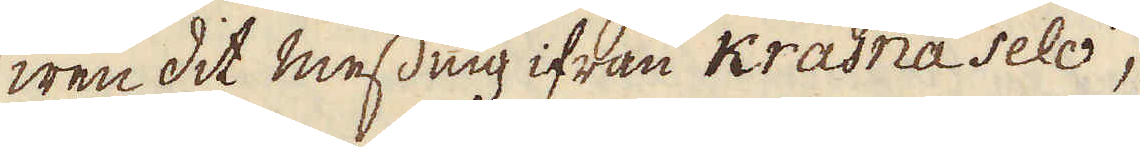wen dit messing ifrån Krasna Selo,
